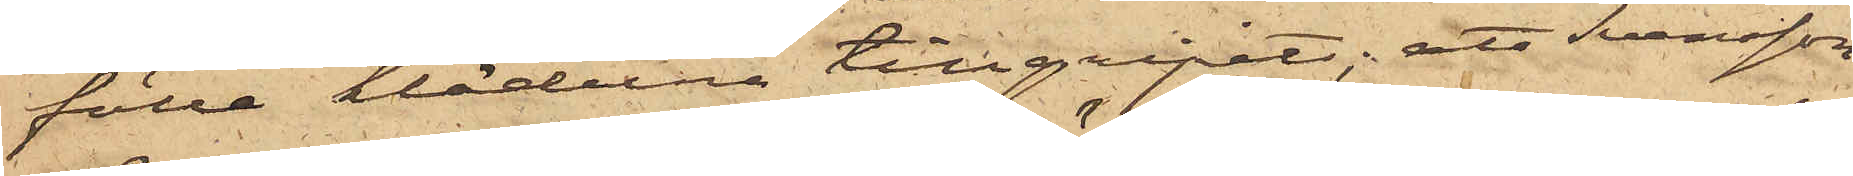fälle kläderna tillgripits; att Svensson
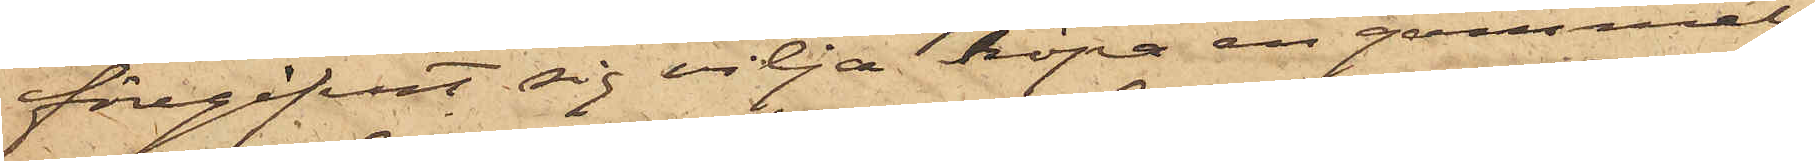föregifvit sig vilja köpa en gammal
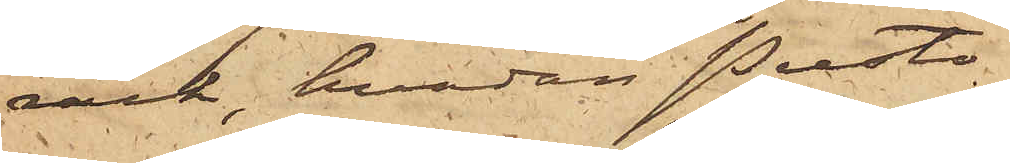rock, hvadan Presto
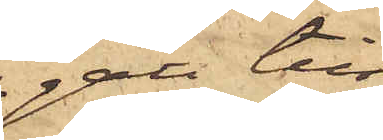gått till
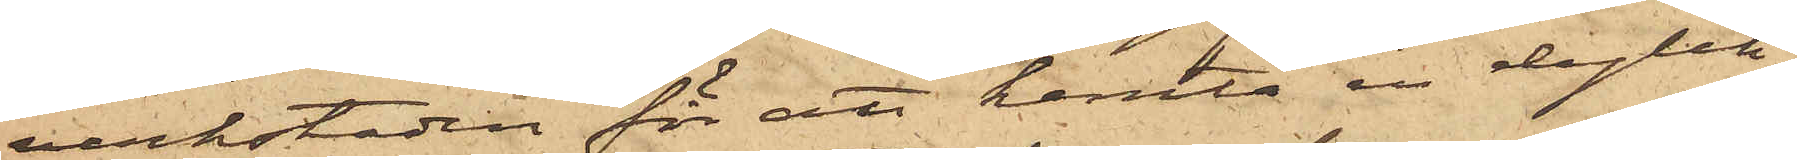verkstaden för att hemta en dylik,
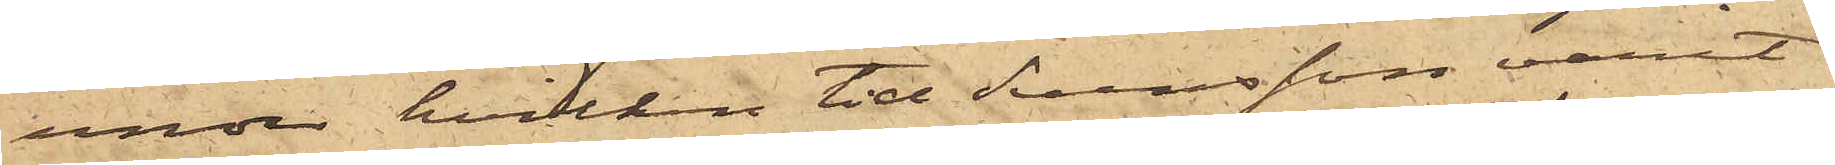under hvilken tid Svensson varit
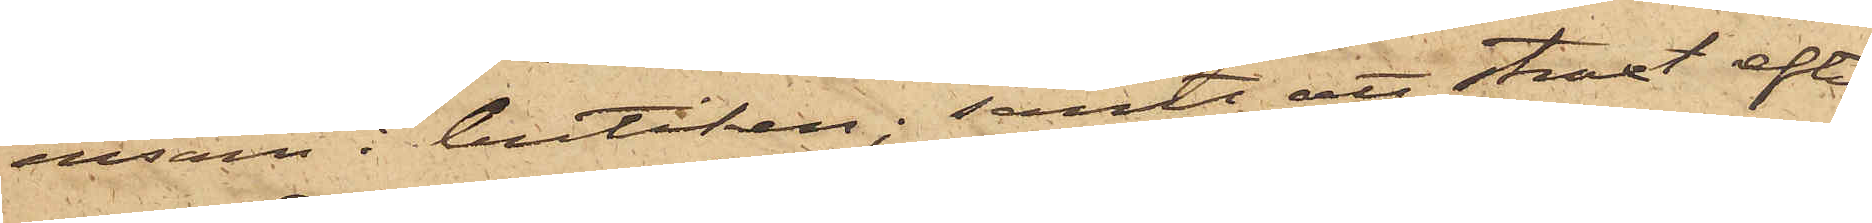ensam i butiken; samt att straxt efter
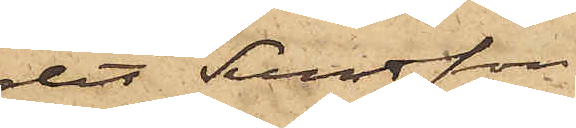det Svensson
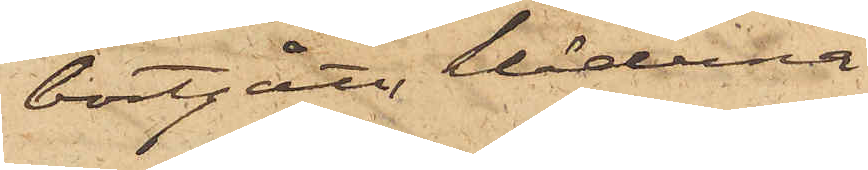bortgått, kläderna
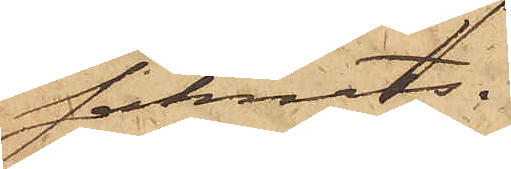saknats.
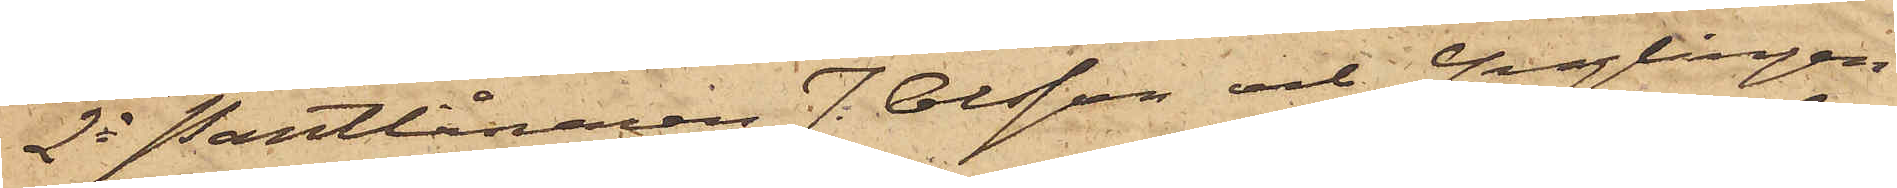2o Pantlånaren J. Olsson och Ynglingen
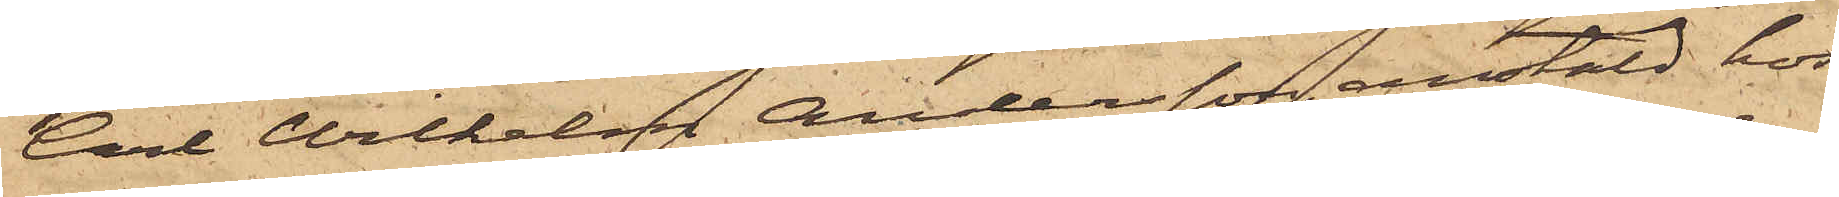Carl Vilhelm Andersson, anstäld hos
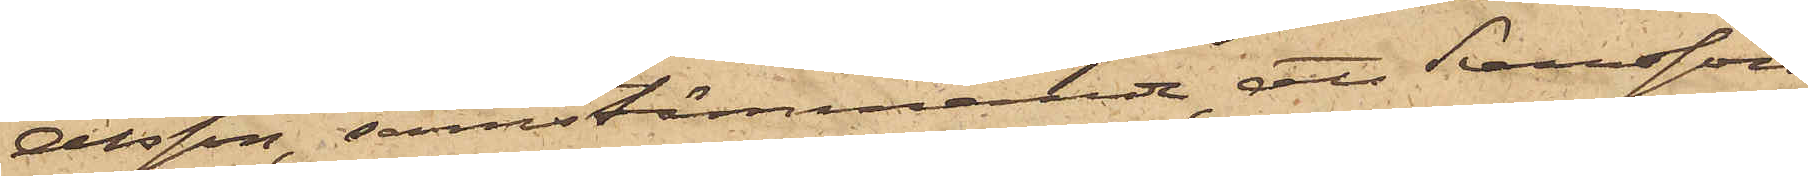Olsson, samstämmande, att Svensson
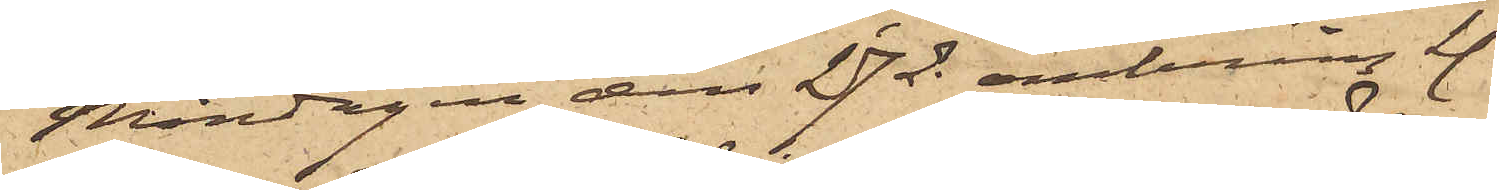Måndagen den 27 ds omkring kl.
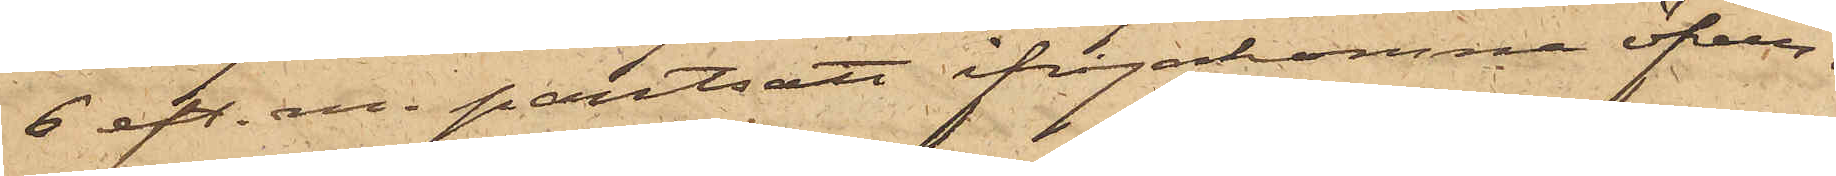6 eft. m. pantsatt ifrågakomne öfver¬
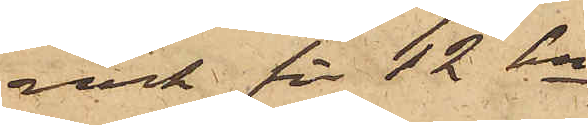rock för 12 kr.
